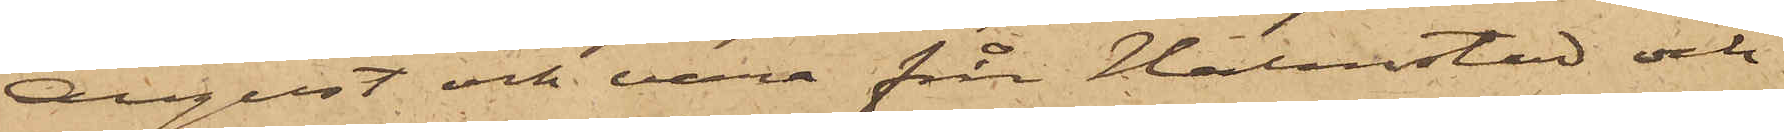August och vara från Halmstad och
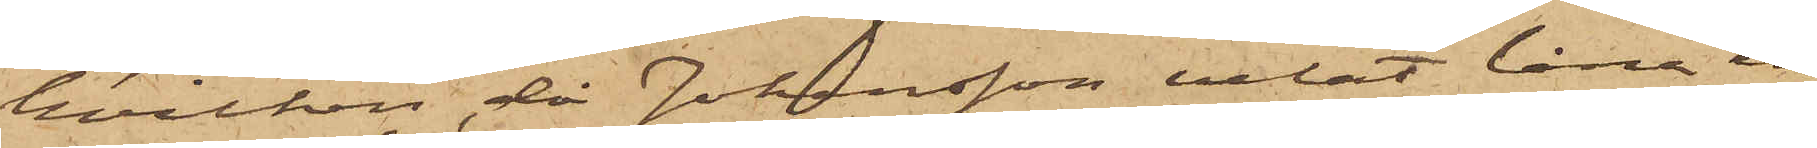hvilken, då Johansson velat låna en
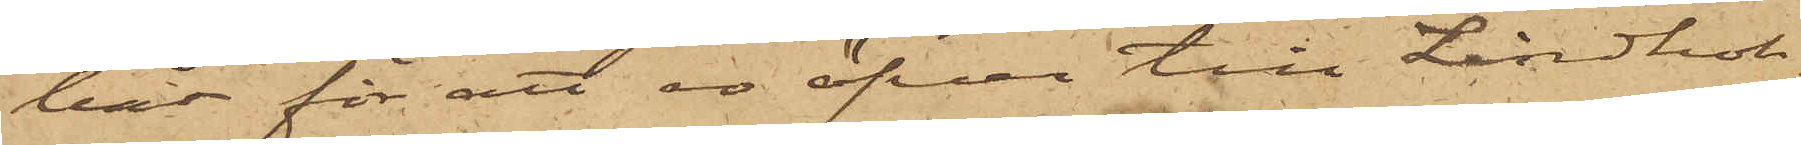båt för att ro öfver till Lindhol¬
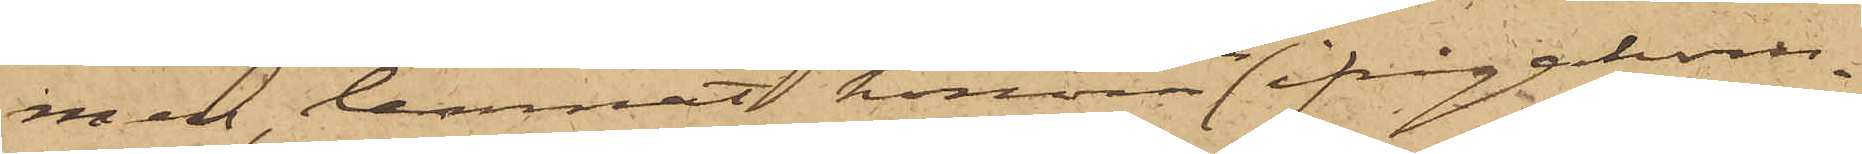men, lemnat honom nu ifrågakom¬
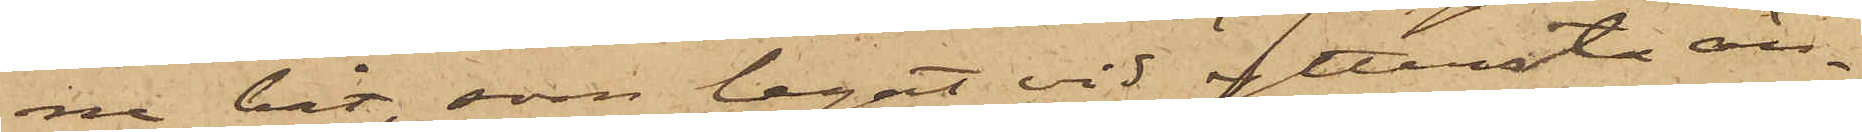ne båt, som legat vid yttersta än¬
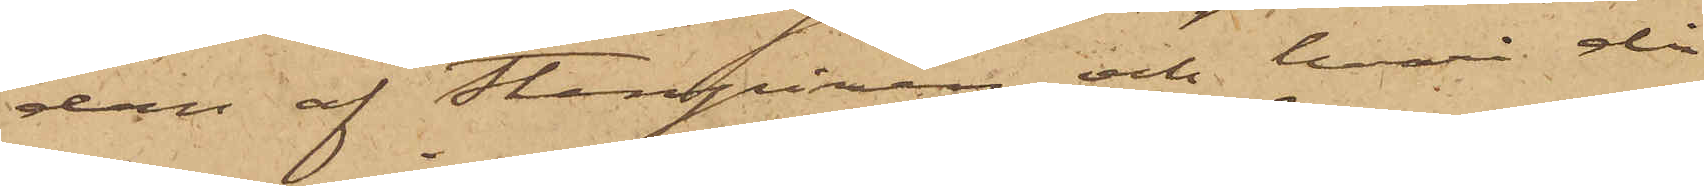dan af Stenpiren och hvari då
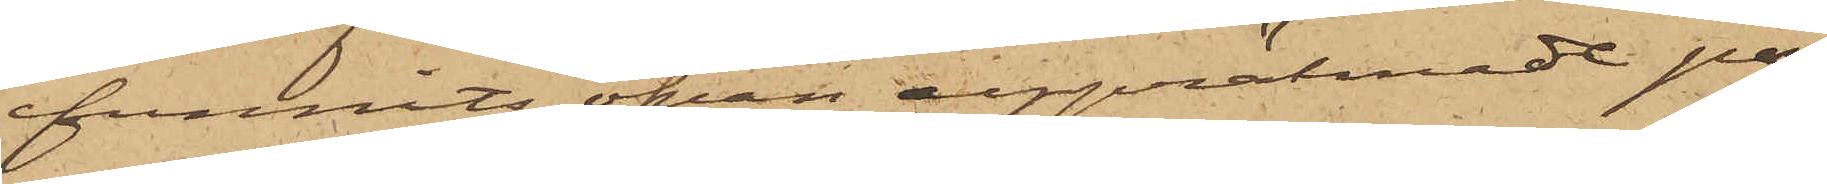funnits ofvan uppräknade per¬
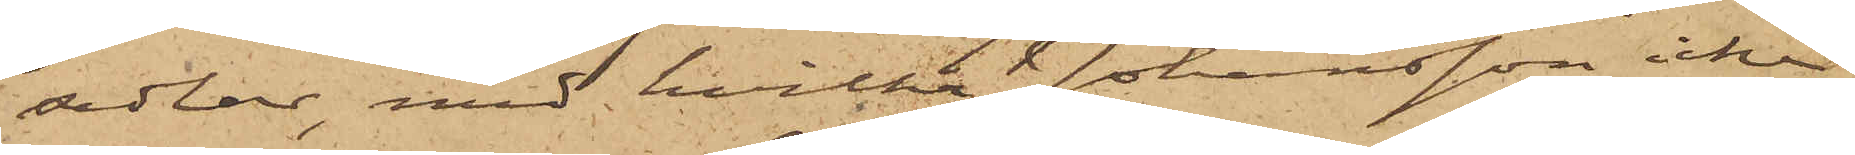sedlar, med hvilka Johansson icke
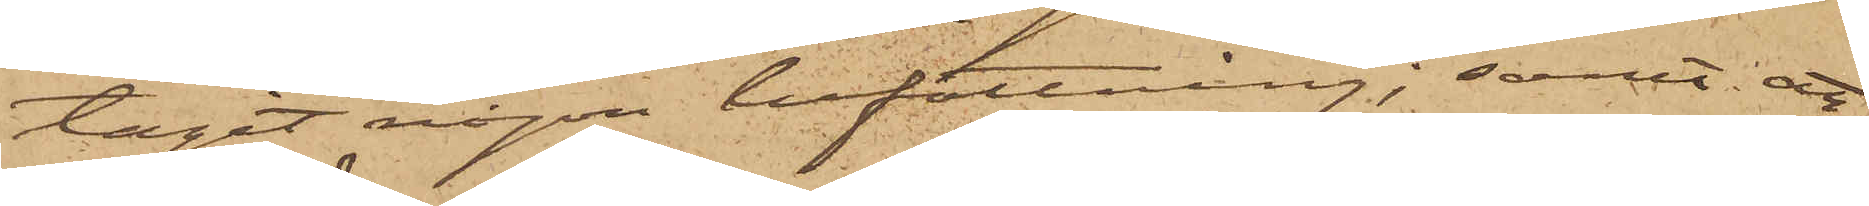tagit någon befattning; samt att
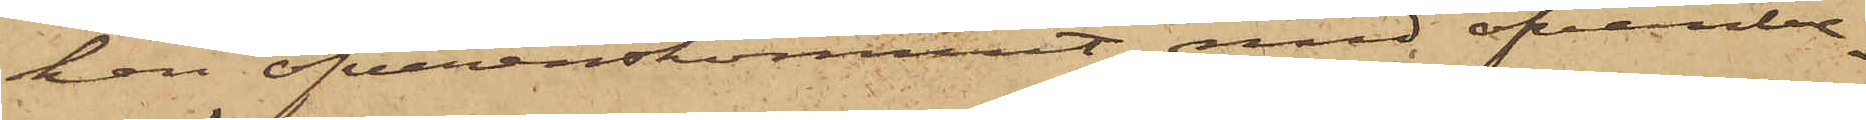han öfverenskommit med ofvanbe¬
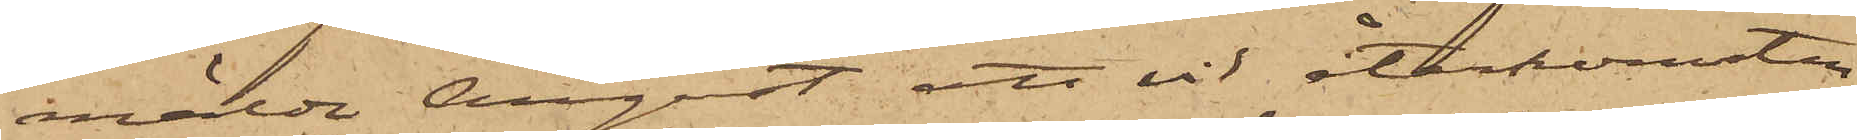mälde August att vid återkomsten
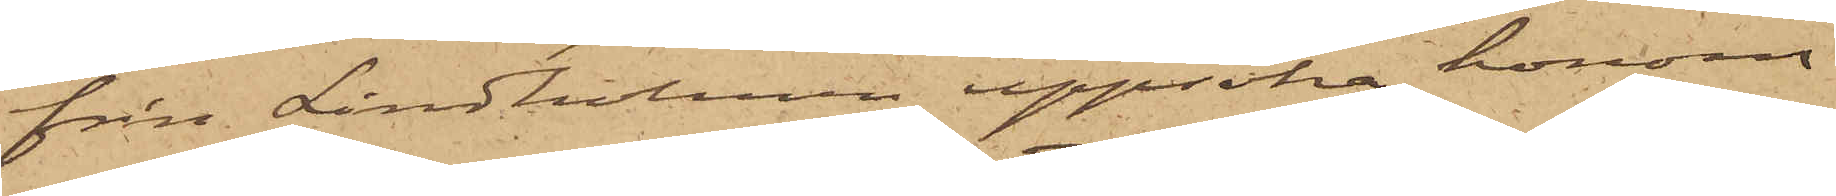från Lindholmen uppsöka honom
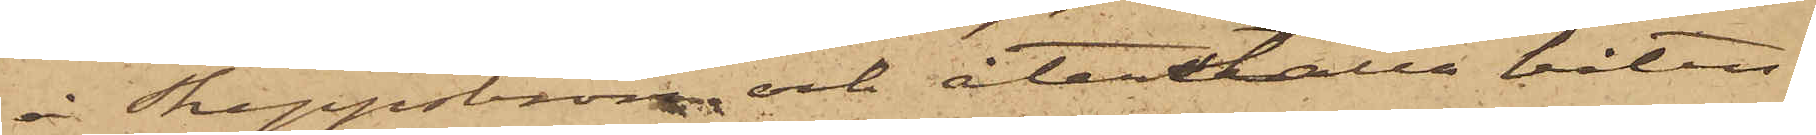å Skeppsbron och återställa båten.
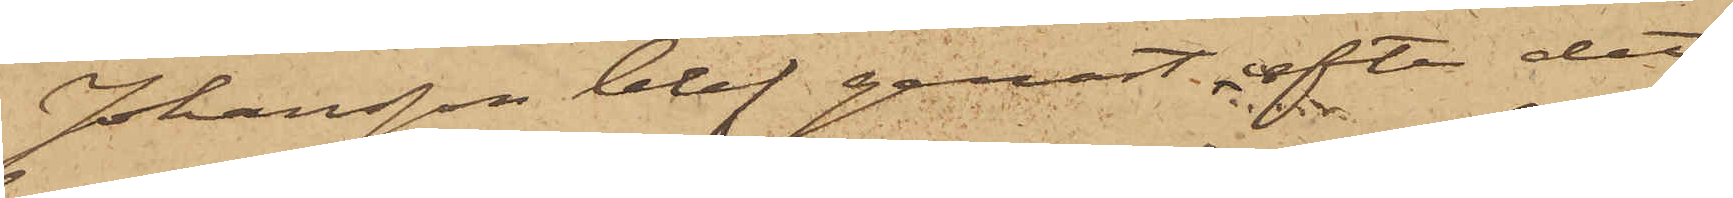Johansson blef genast efter det
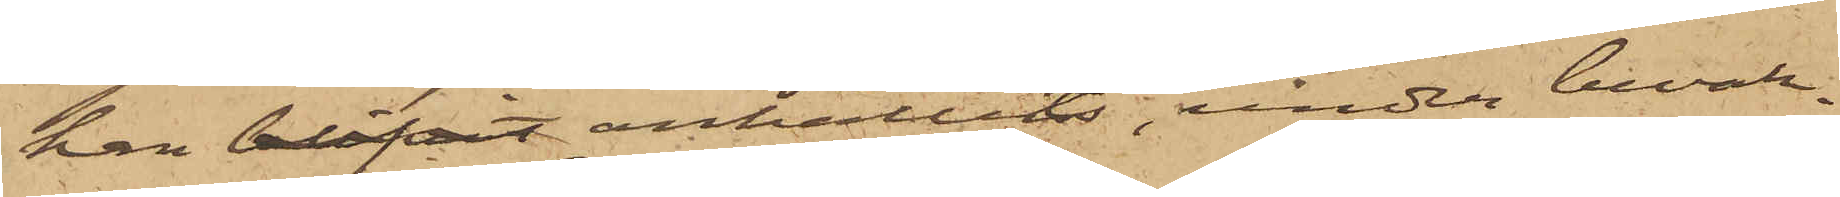han blifvit anhållits, under bevak¬
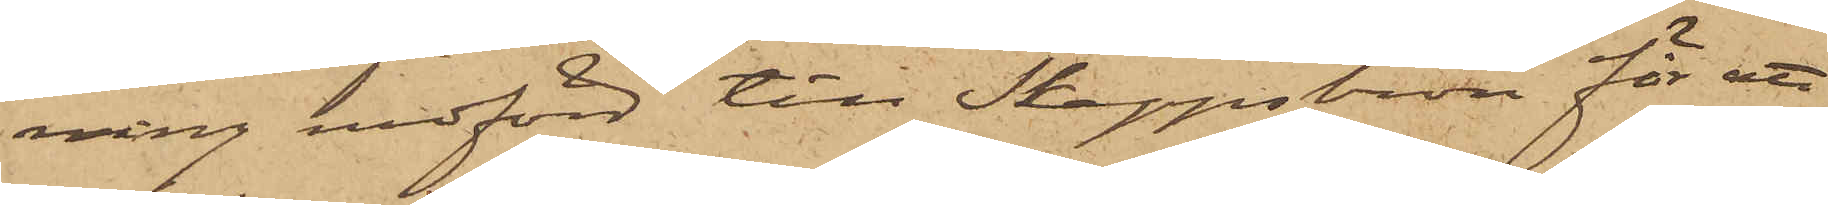ning medförd till Skeppsbron för att
